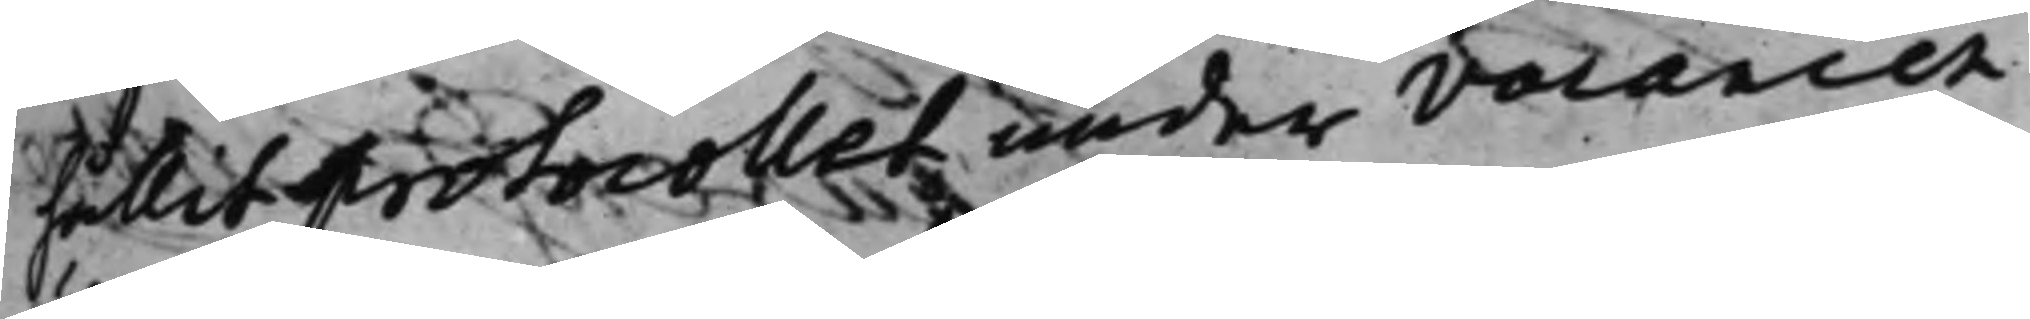hållit protocollet under vacancen
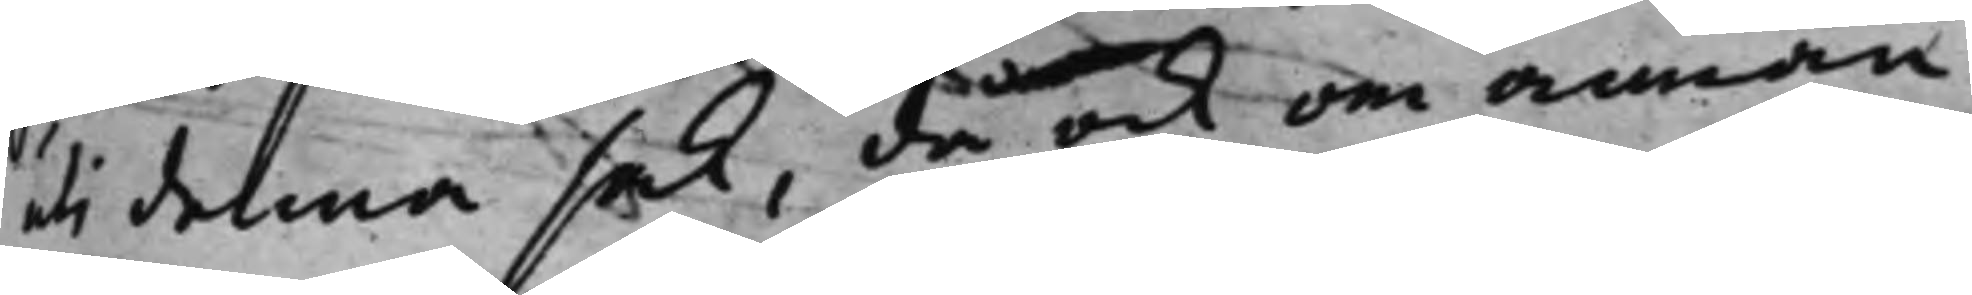uti denna sak, då ock om annan
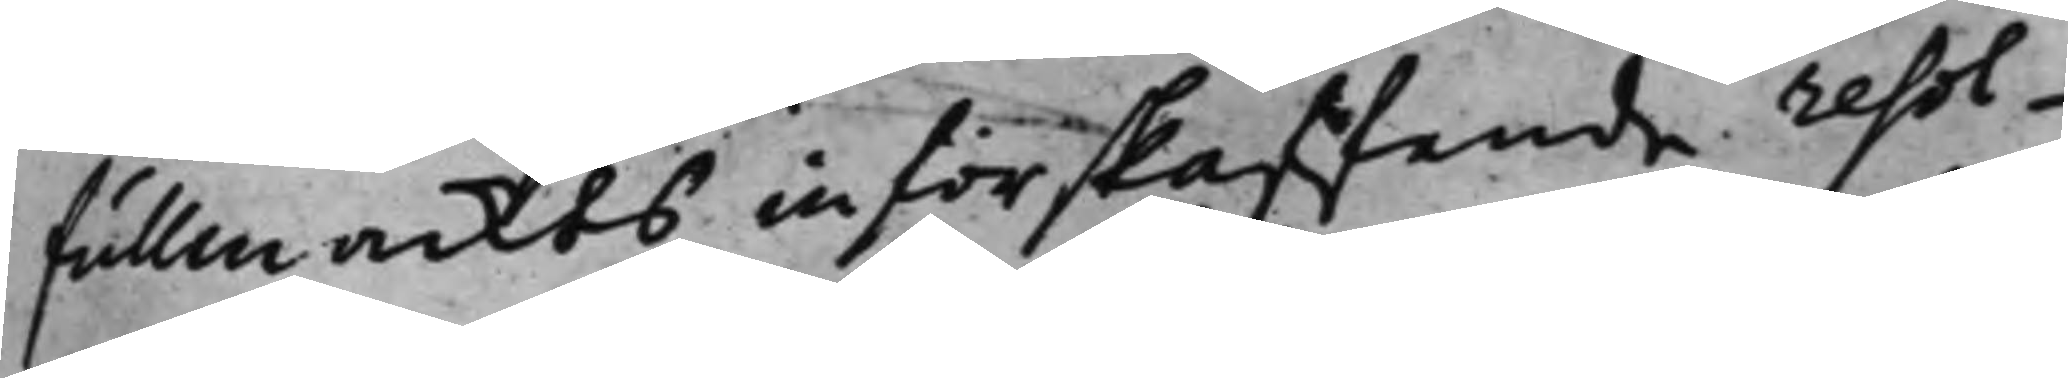fullmackts införskaffande resol¬
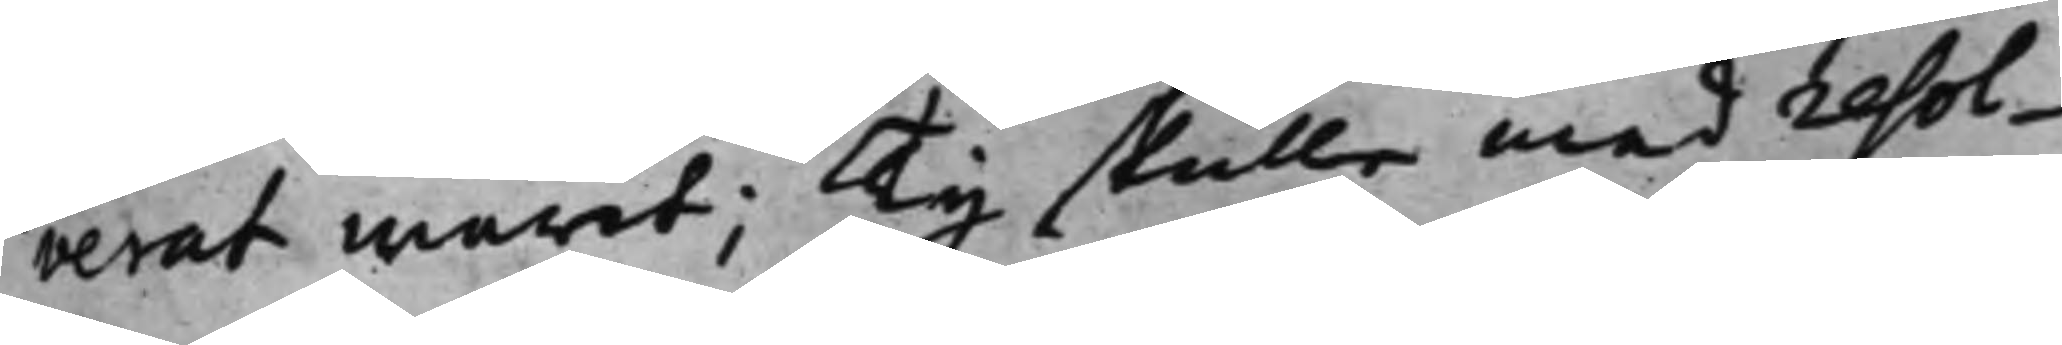verat warit; Ty skulle med resol¬
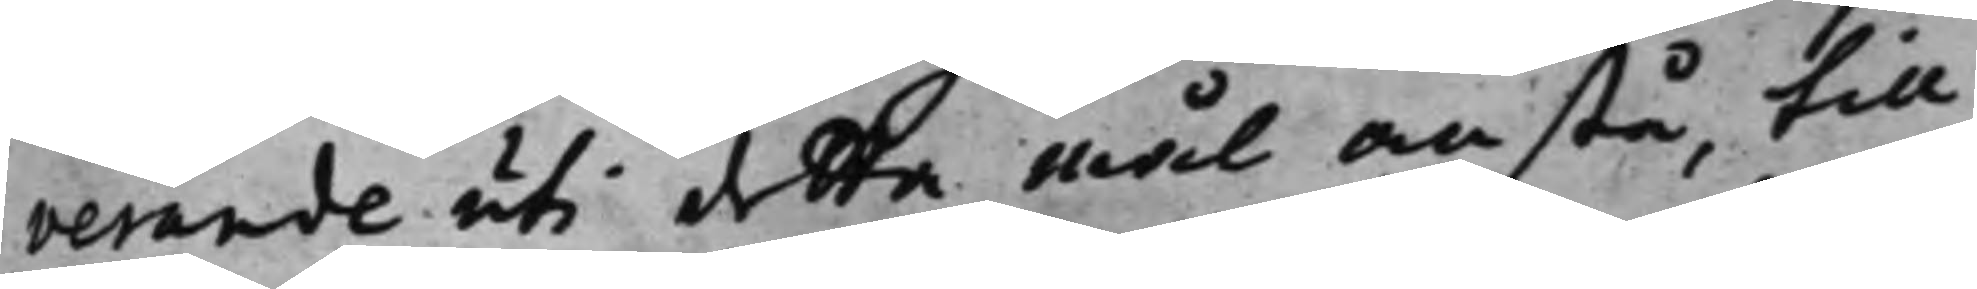verande uti detta mål anstå, till
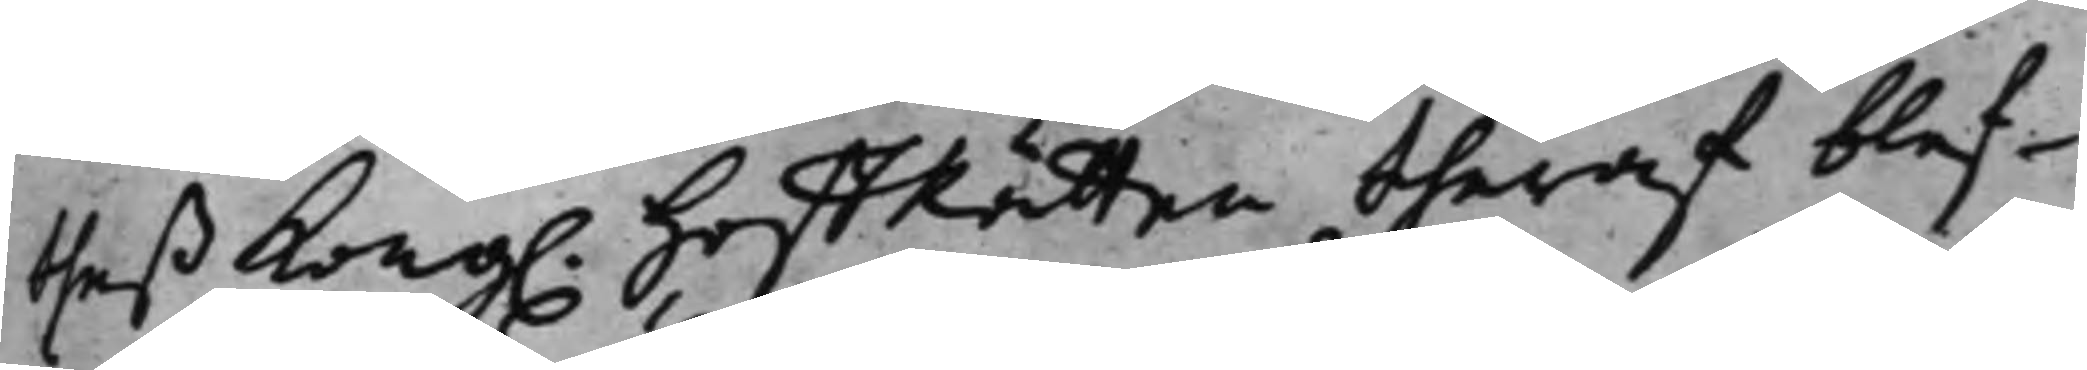theß Kong. HoffRätten theraf blef¬
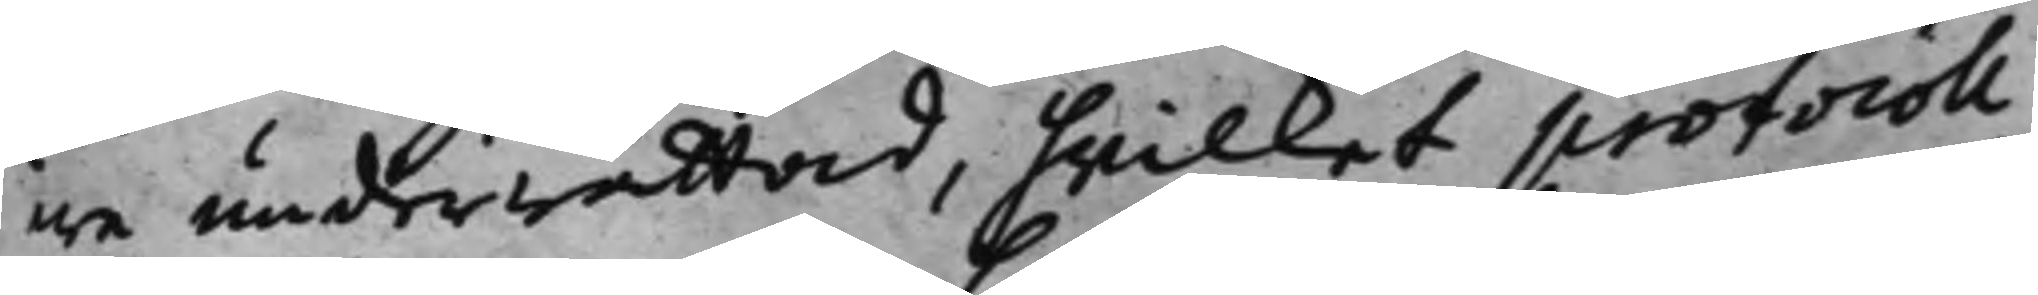we underrättad, hwilket protocoll
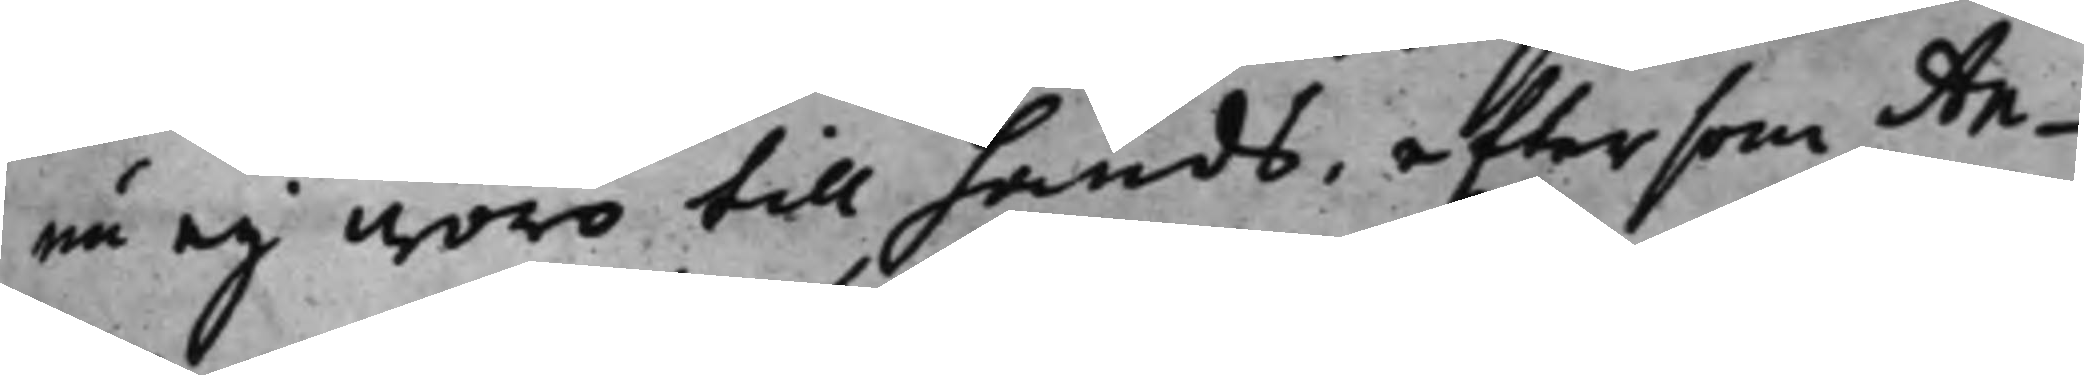nu eij woro till hands, eftersom An¬
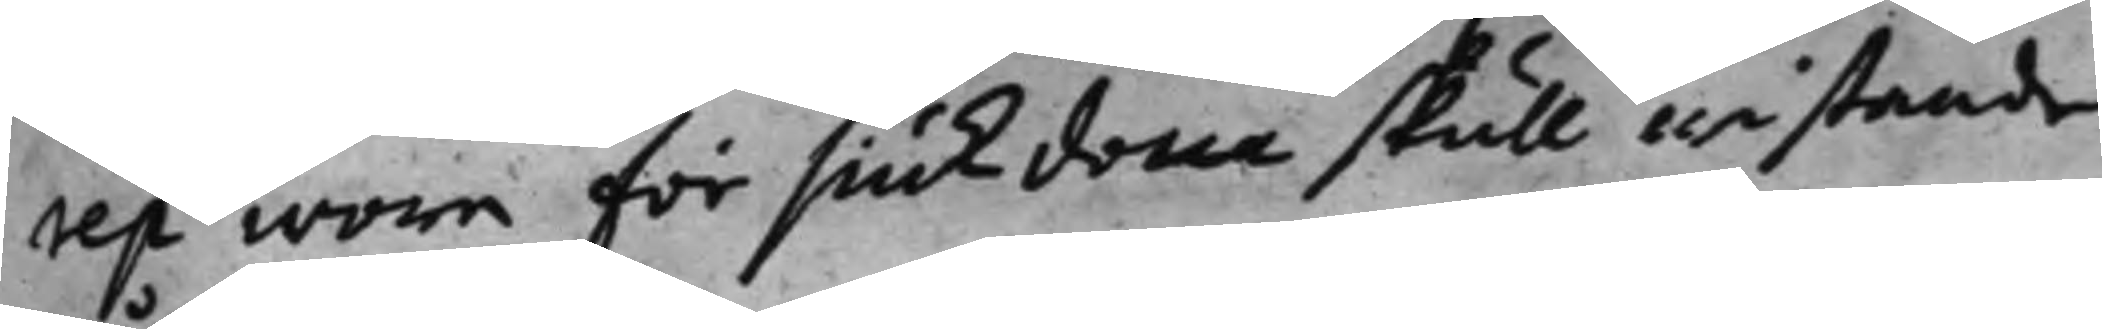rep wore för siukdom skull wistande
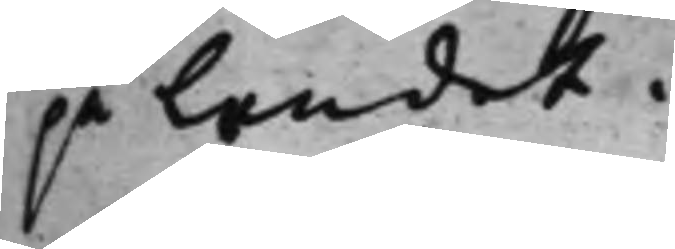på Landet.
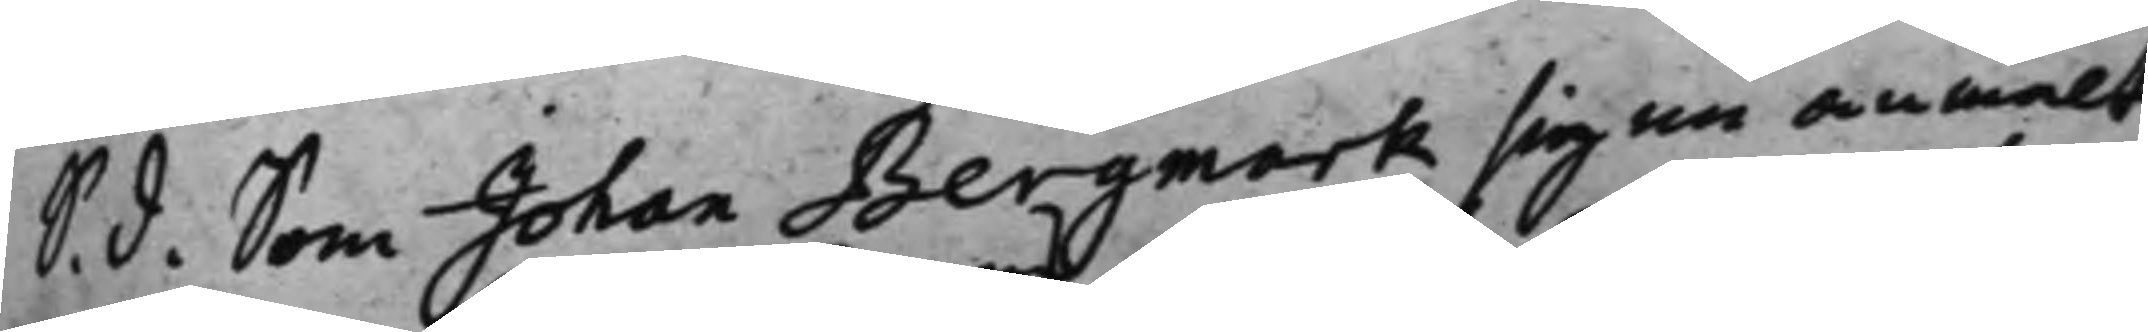S. d. Som Johan Bergmark sig nu anmält
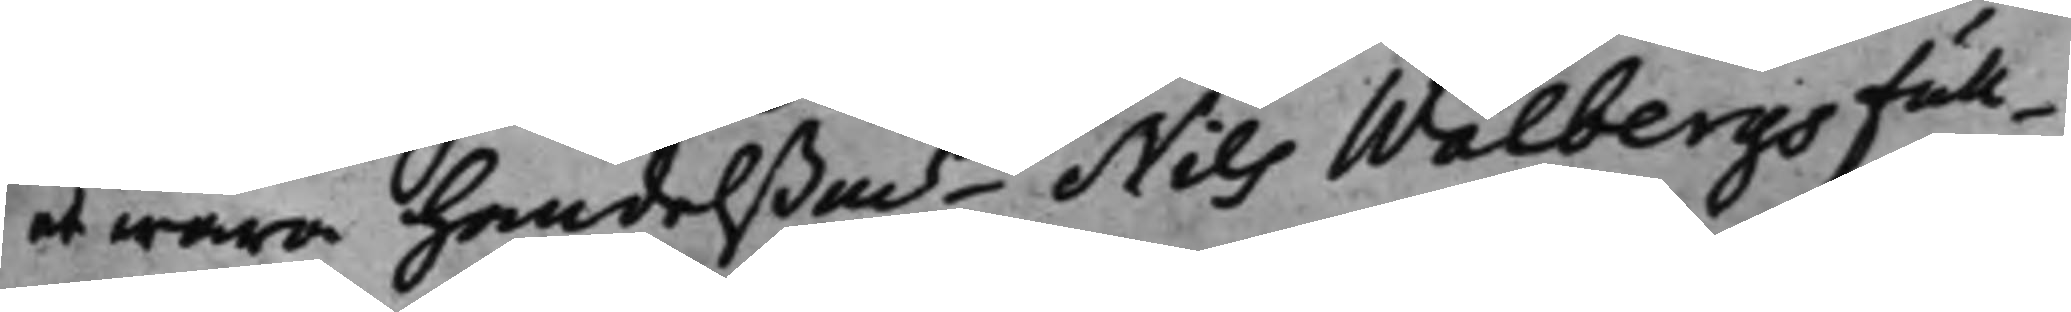at wara handelßmns, Nils Walbergs Full¬
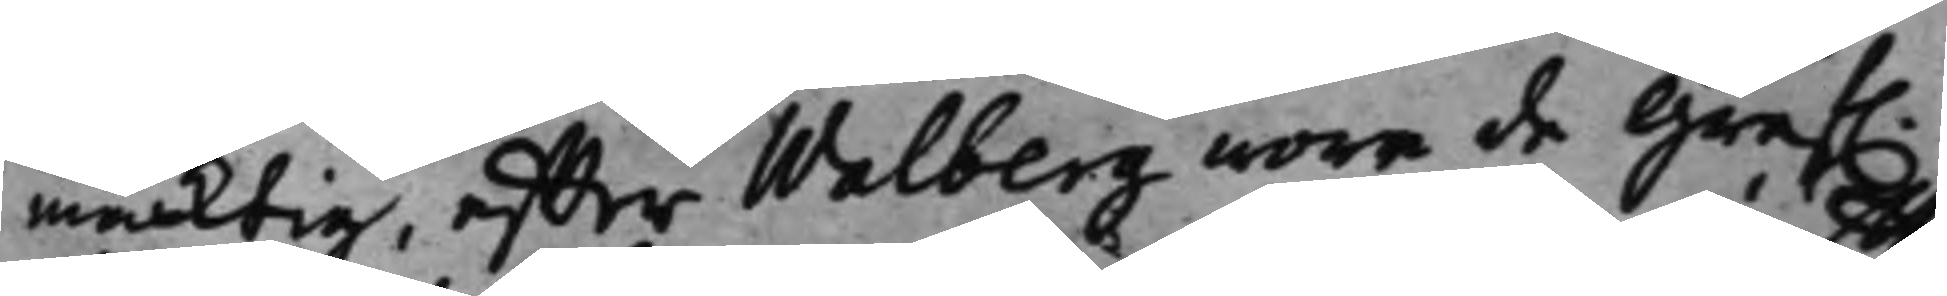mäcktig, effter Walberg wore de Gref.
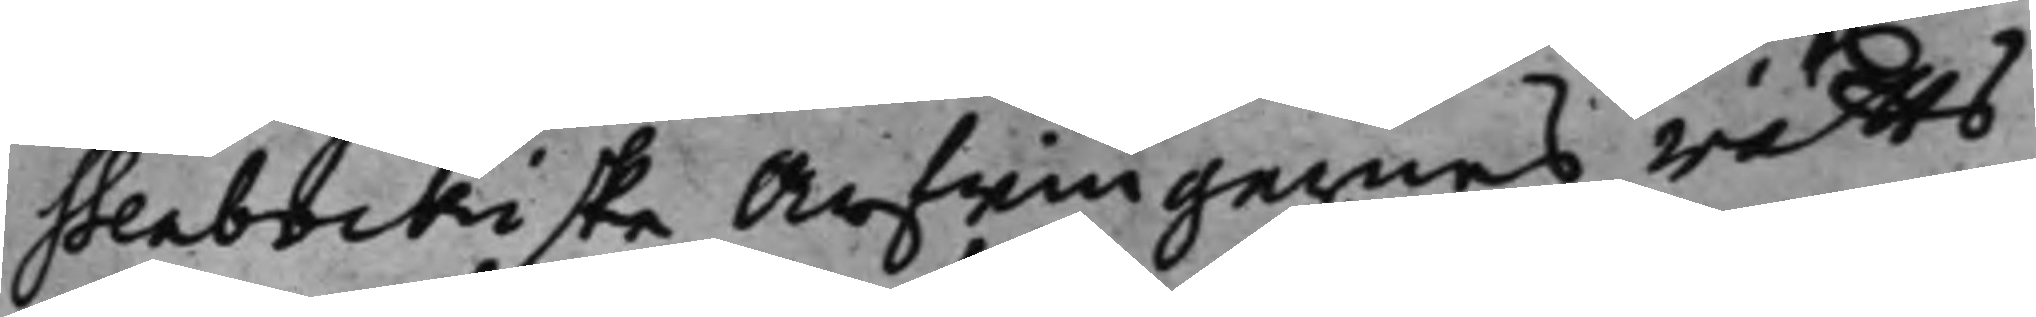Stenbockiske Arfwingarnes rätts¬
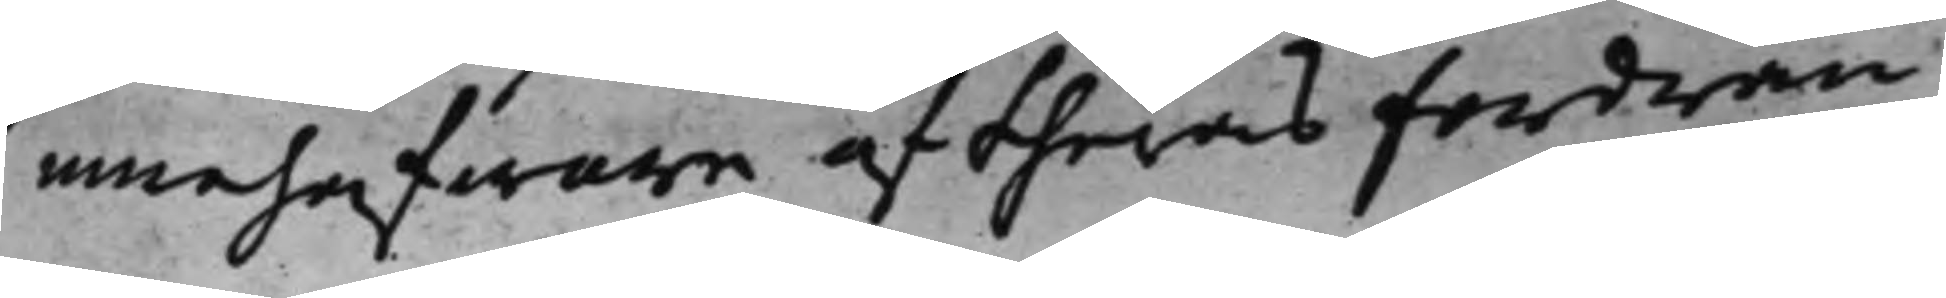innehafware af theras fordran
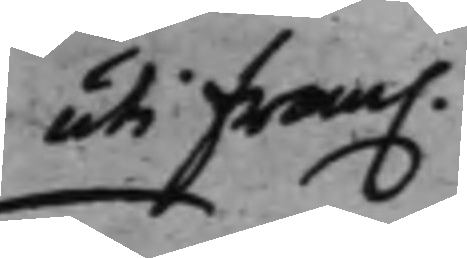uti fram.
